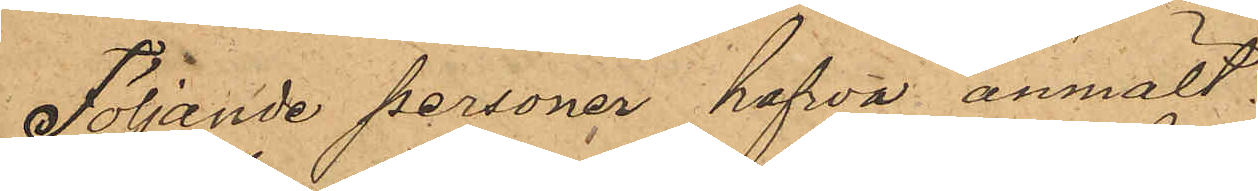Följande personer hafva anmält:
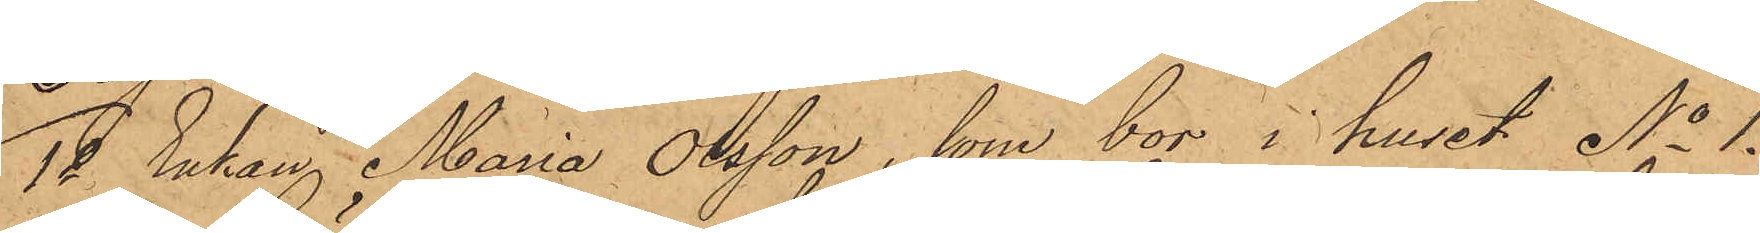1o Enkan Maria Olsson, som bor i huset No 1.
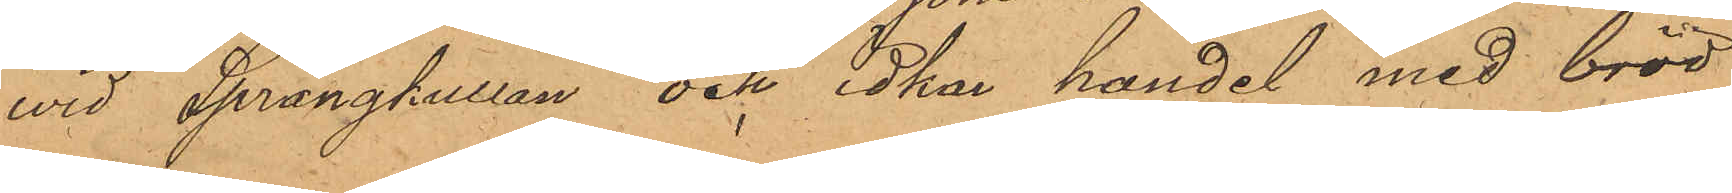wid Sprängkullan och idkar handel med bröd
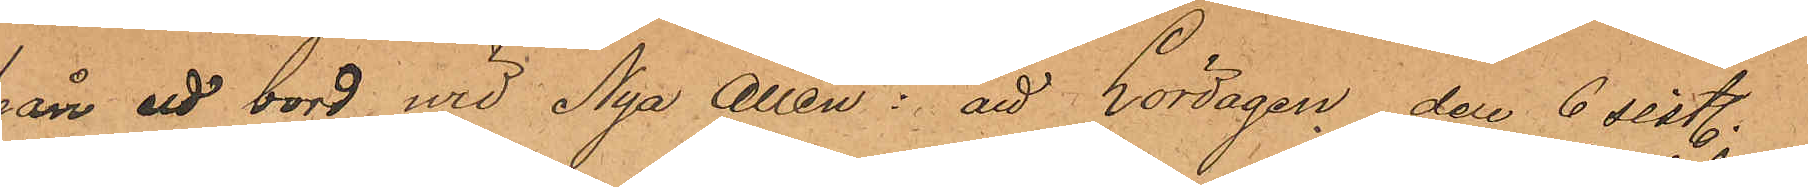från ett bord wid Nya Allén: att Lördagen den 6 sistl.
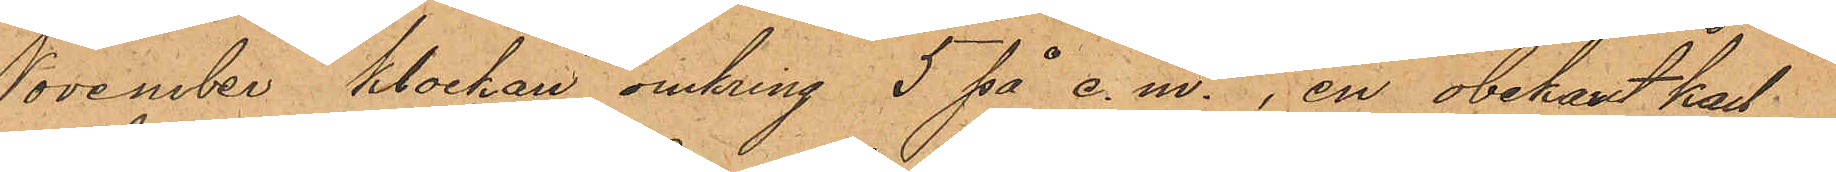November klockan omkring 5 på e. m., en obekant karl
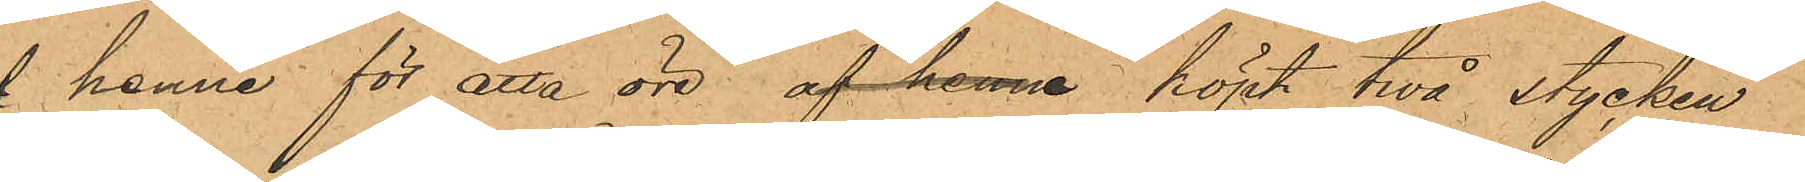af henne för åtta öre af henne köpt twå stycken
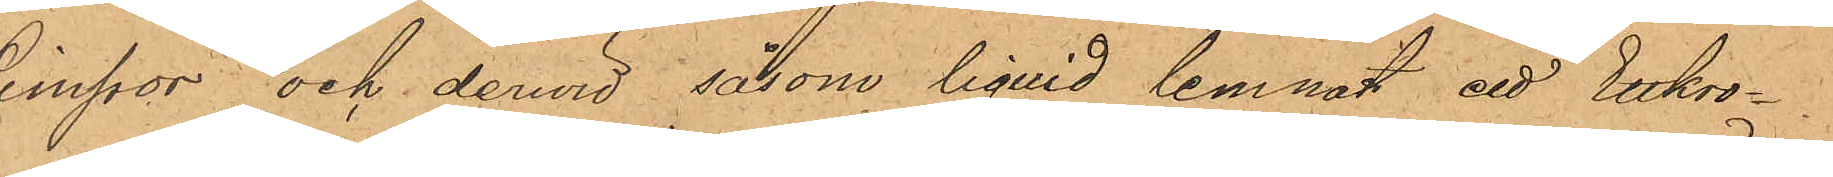Limpor och dervid såsom liquid lemnat ett Ettkro¬
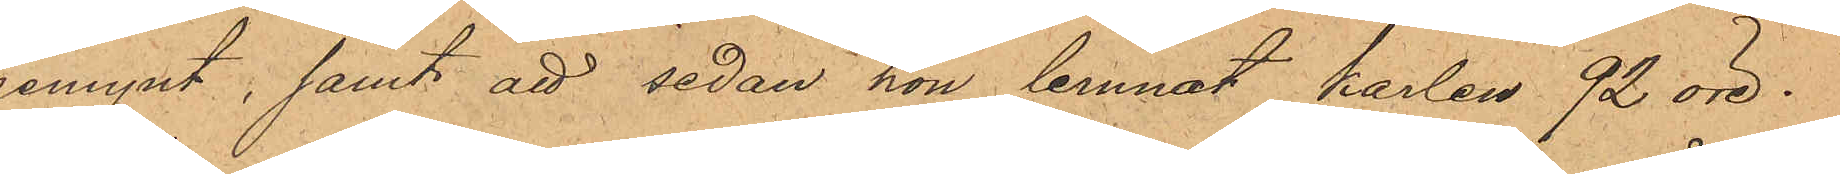nemynt, samt att sedan hon lemnat karlen 92 öre
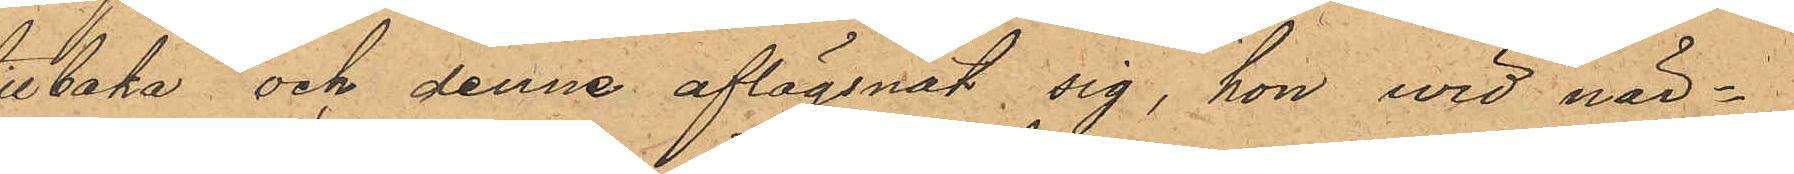tillbaka, och denne aflägsnat sig, hon wid när¬
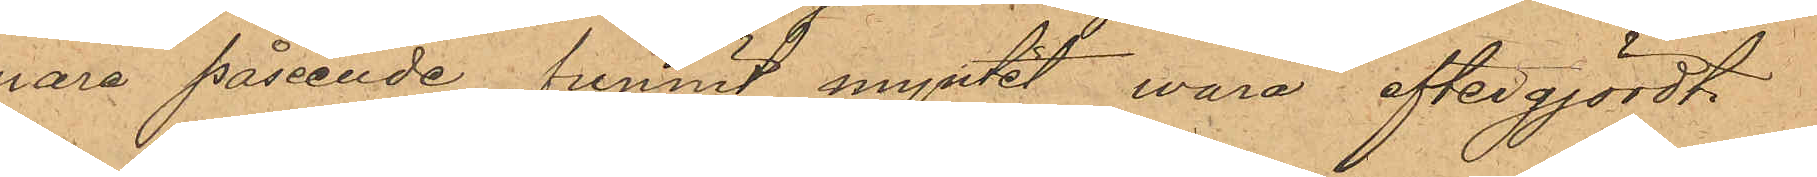mare påseende funnit myntet wara eftergjordt
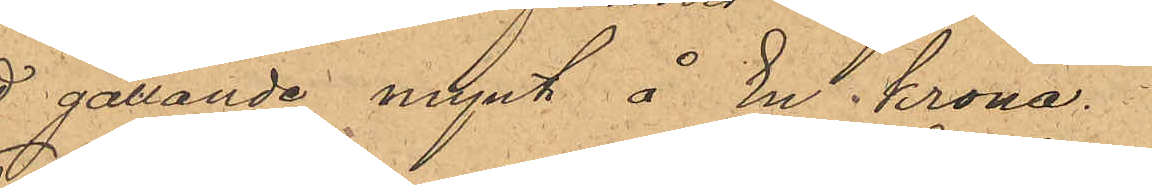ett gällande mynt å En krona.
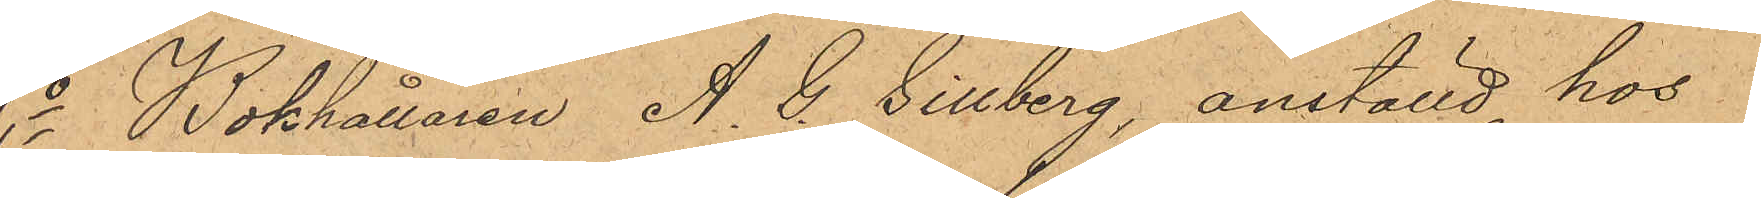2o Bokhållaren A. G. Gillberg, anställd hos
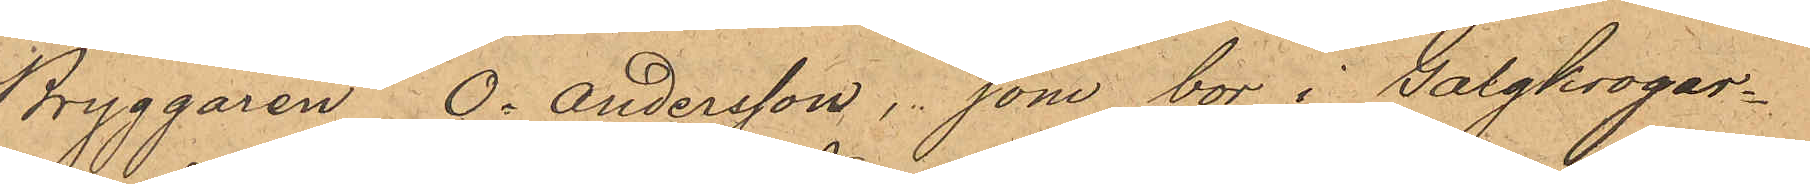Bryggaren O. Andersson, som bor i Galgkrogar¬
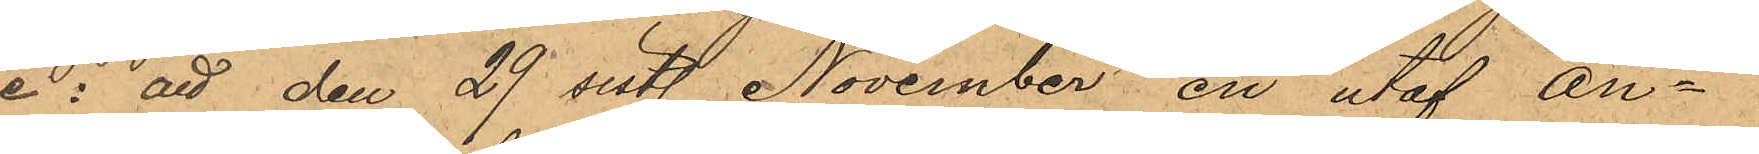ne: att den 29 sistl. November en utaf An¬
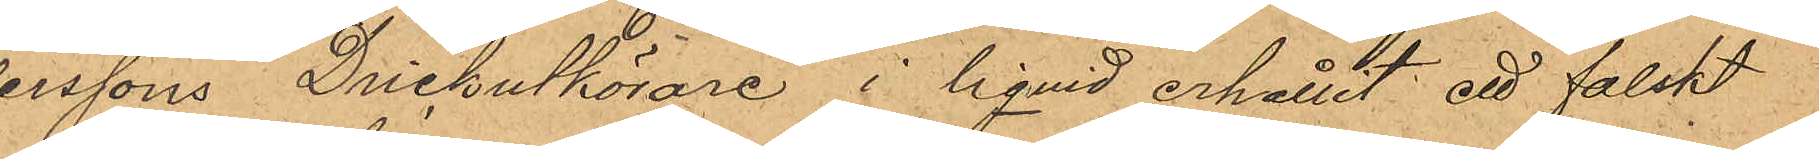derssons Drickutkörare i liquid erhållit ett falskt
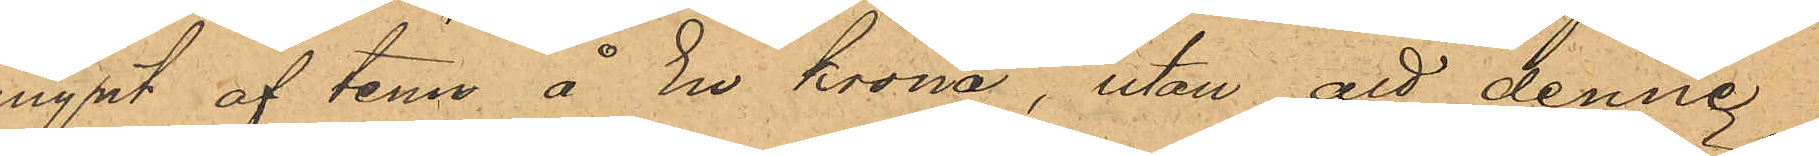mynt af tenn å En krona, utan att denne
